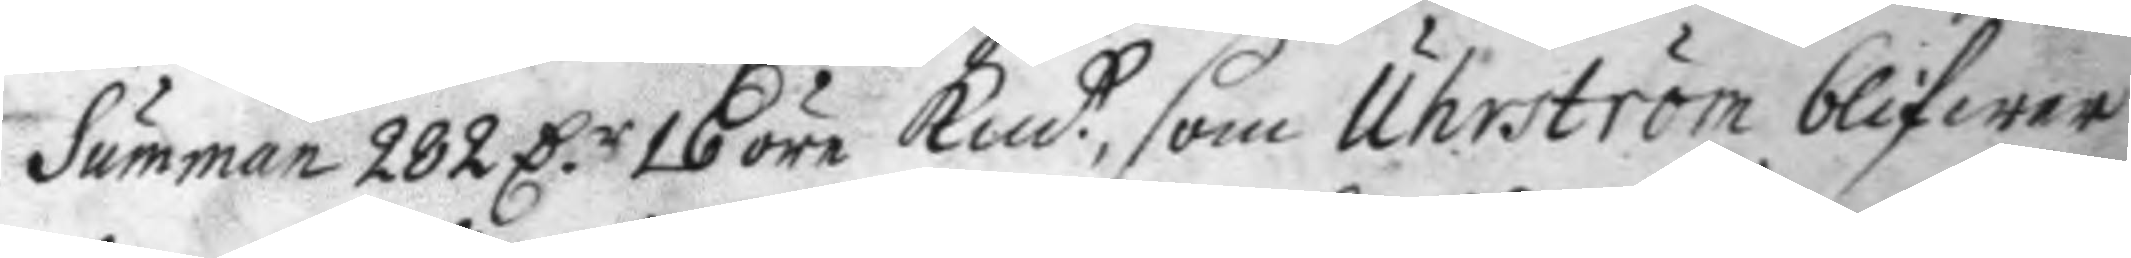Summan 282 D.r 16 öre Kmt, som Uhrström blifwer
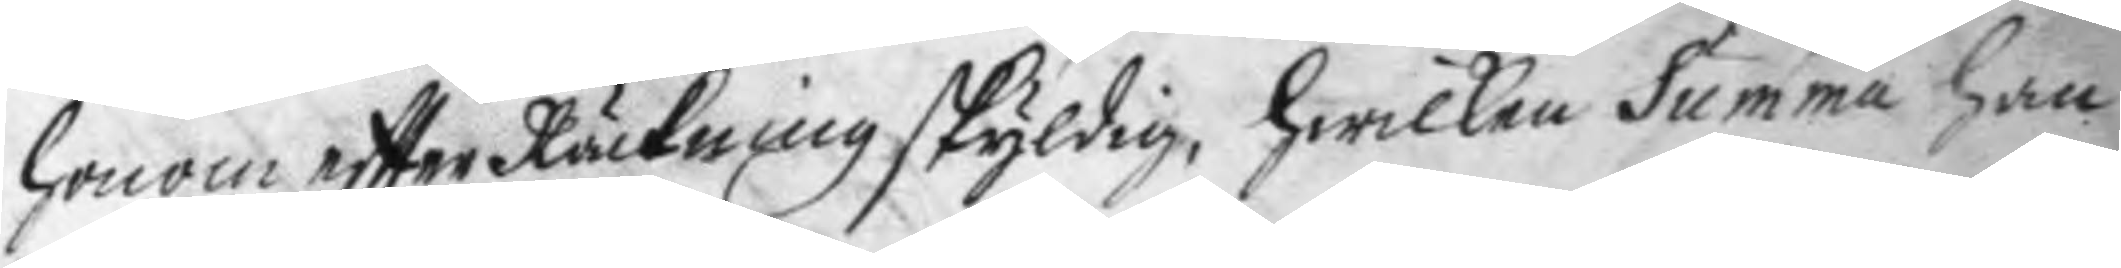honom eftter Räckning skyldig, hwilken Summa han
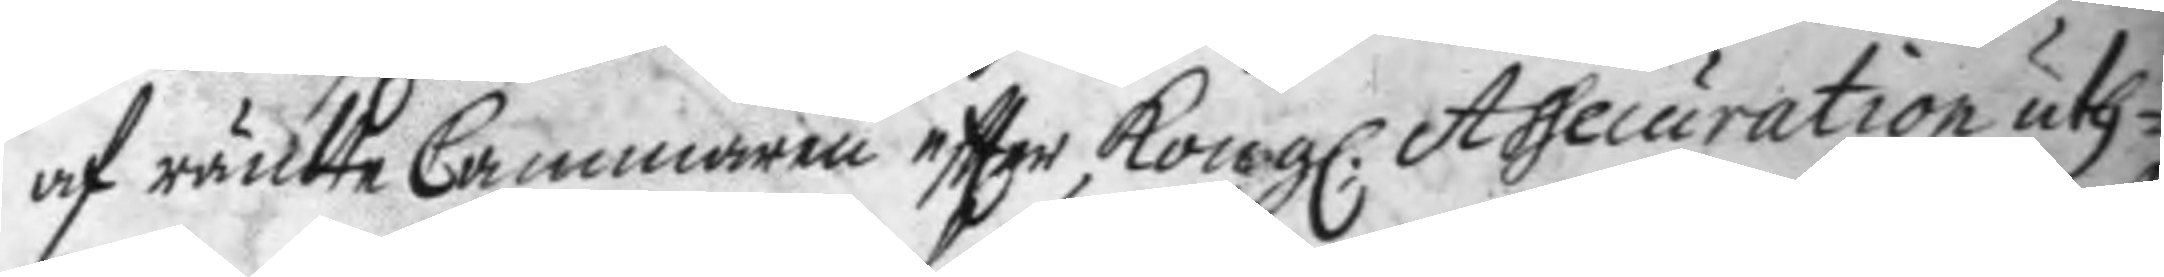af ränteCammaren sftter Kong. Assecurattion uth¬
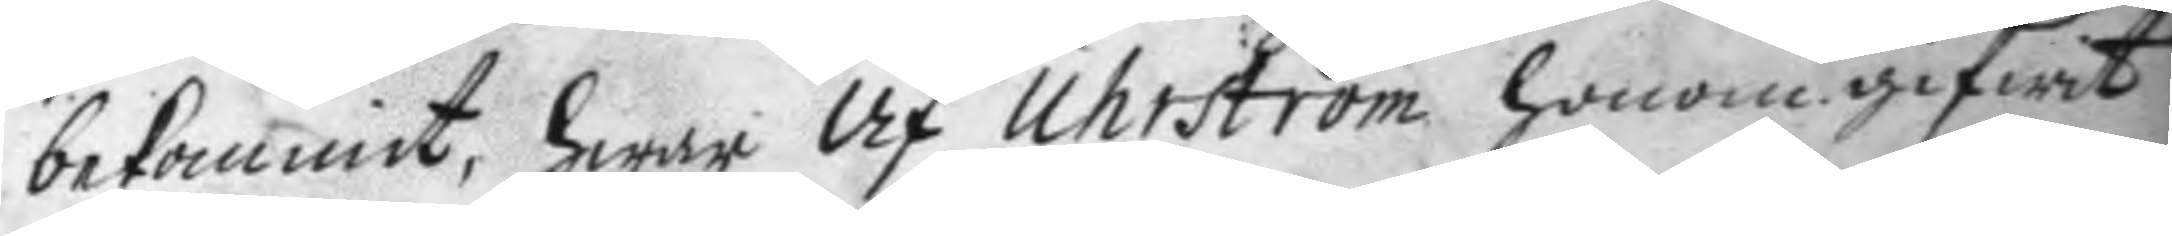bekommit, hwar af Uhrström honom gifwit
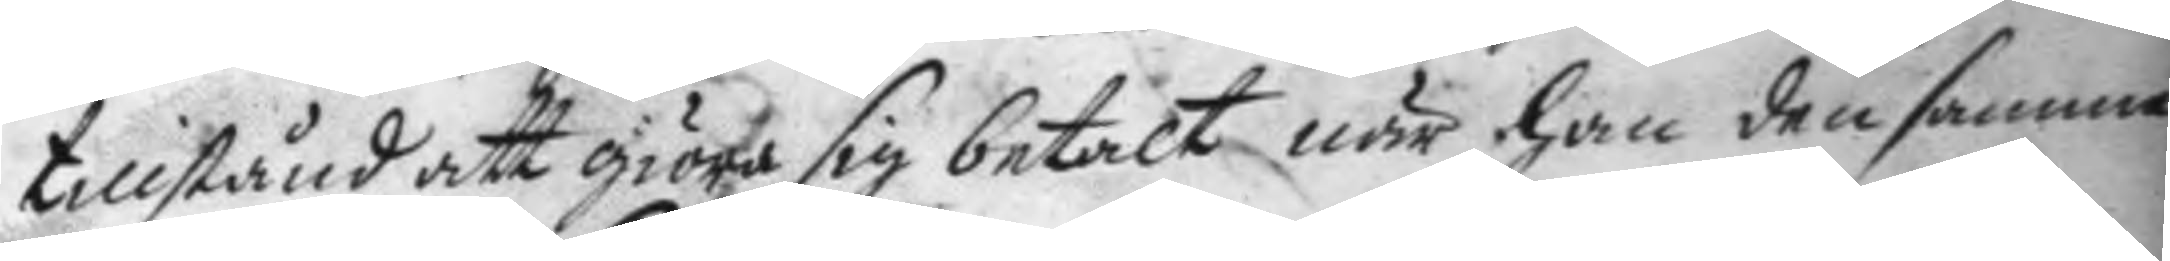tillstånd att giöra sig betalt när han den samma
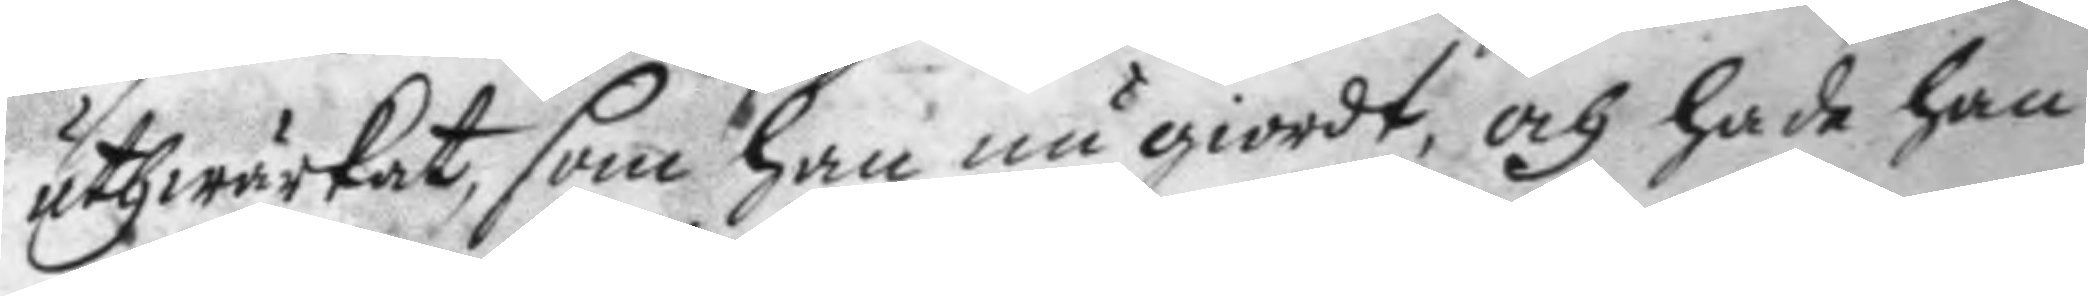uthwärkat, som han nu giordt, och hade han
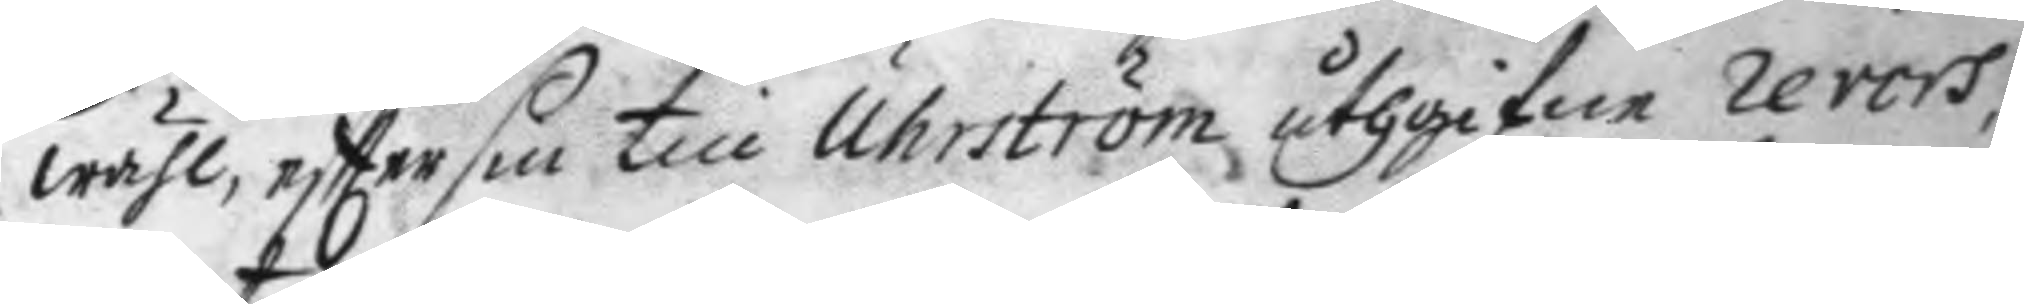wähl eftter sin till Uhrström uthgifne revers,
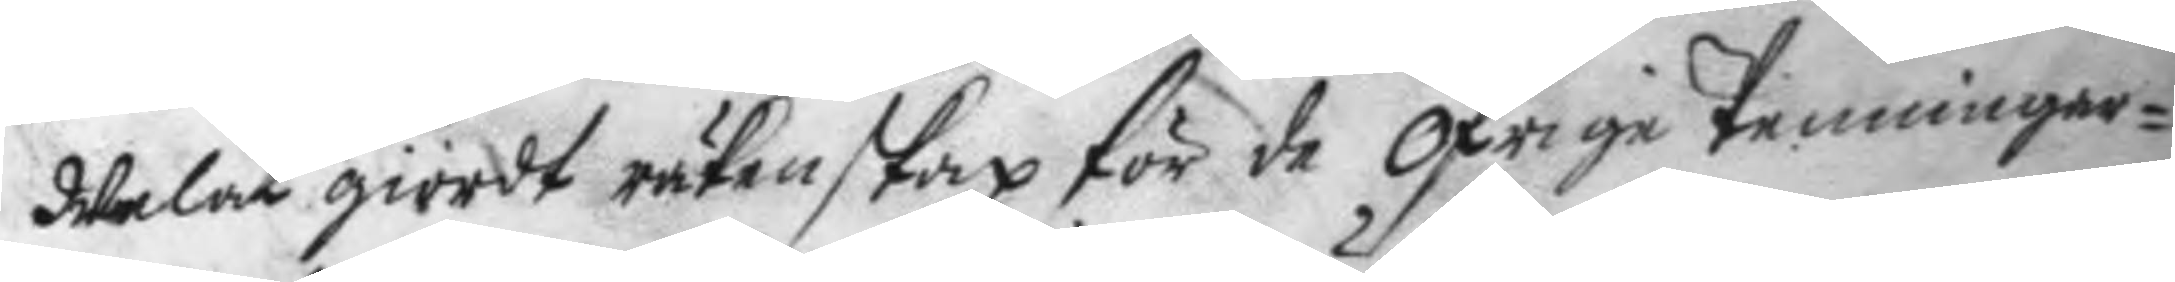Welat giordt räkenskap för de öfrige Penningar¬
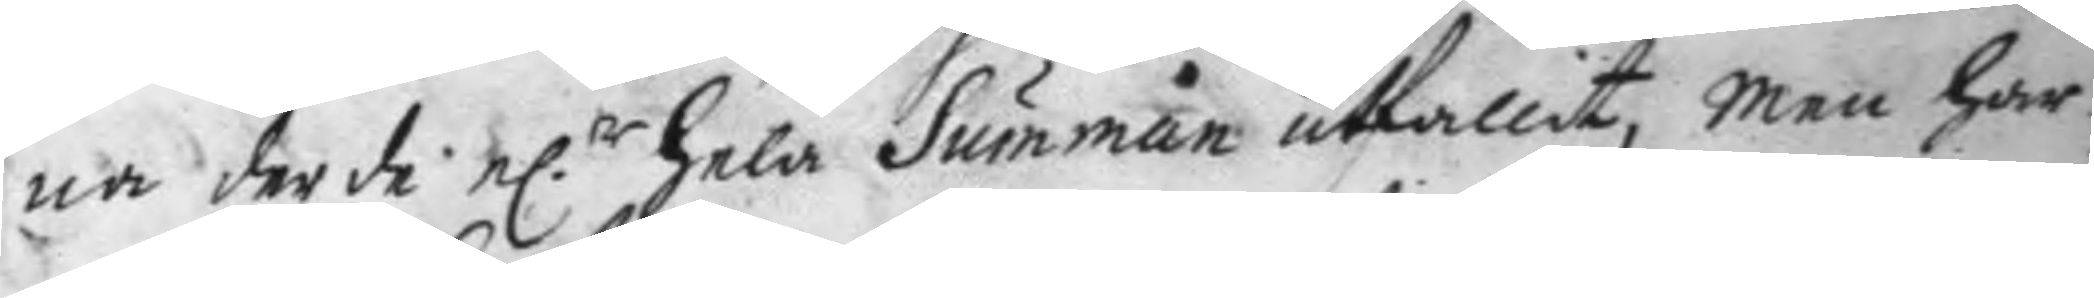na der de e.r hela Summan utfallit, men han
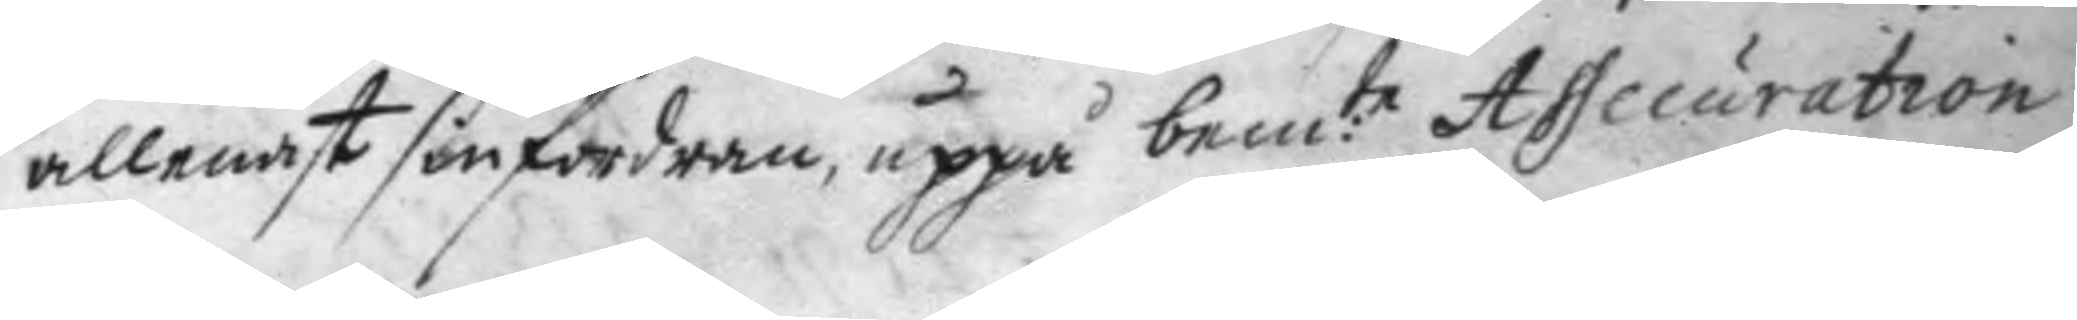allenast sin fordran uppå bem:te Assecuration
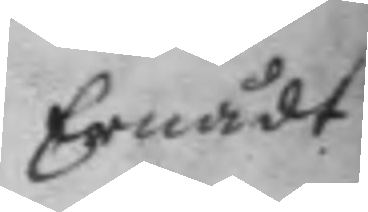Ernådt
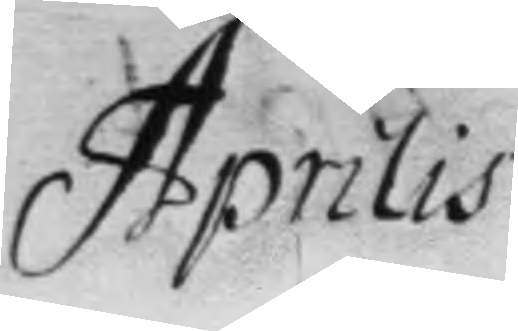Aprilis
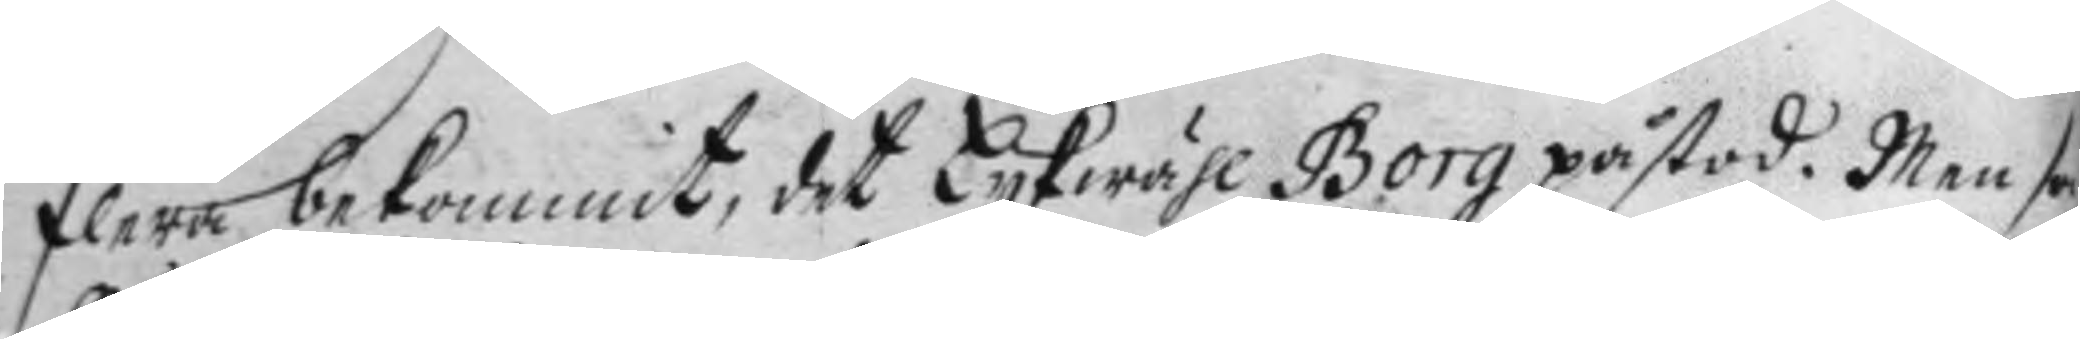flera bekommit, det Lykwähl Borg påstod. Men som
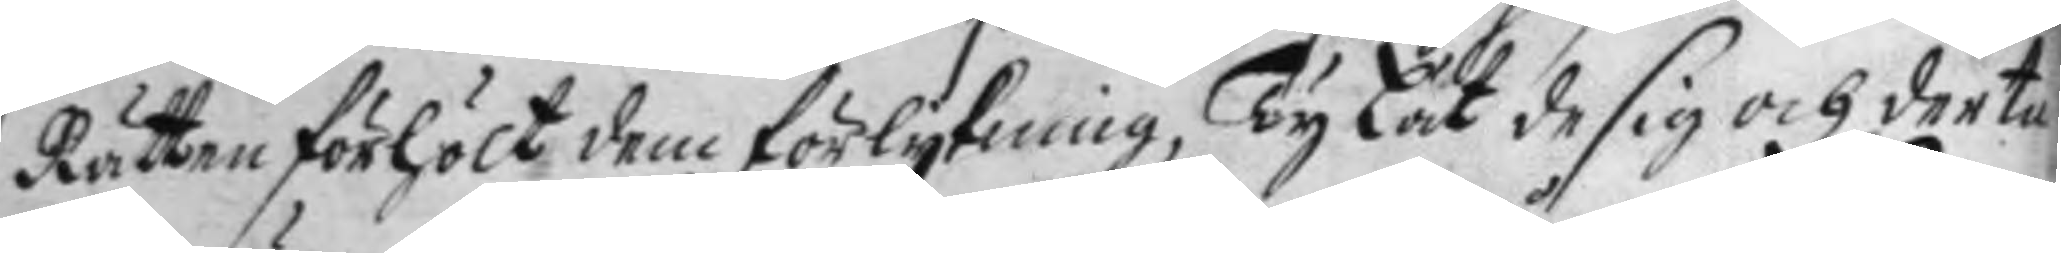Rätten förhölt dem förlykning, Ty Lät de sig och dertill
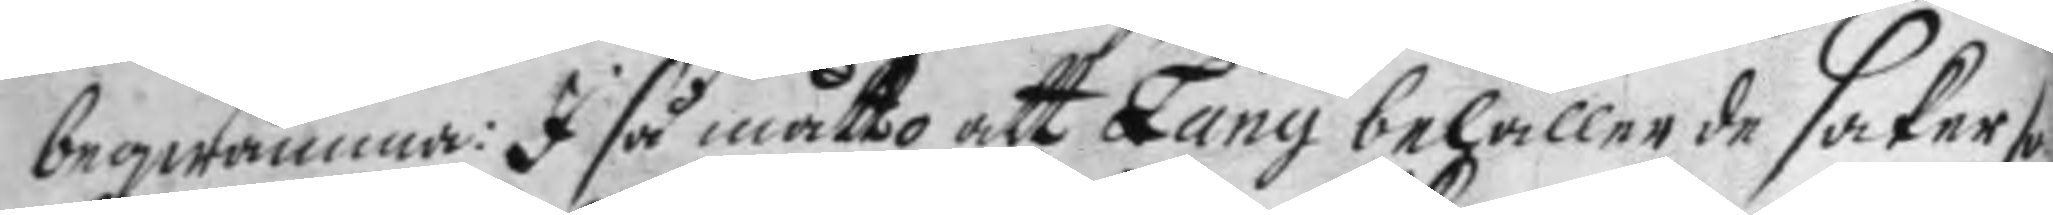beqwämma: I så måtto att Lang behållande saker som
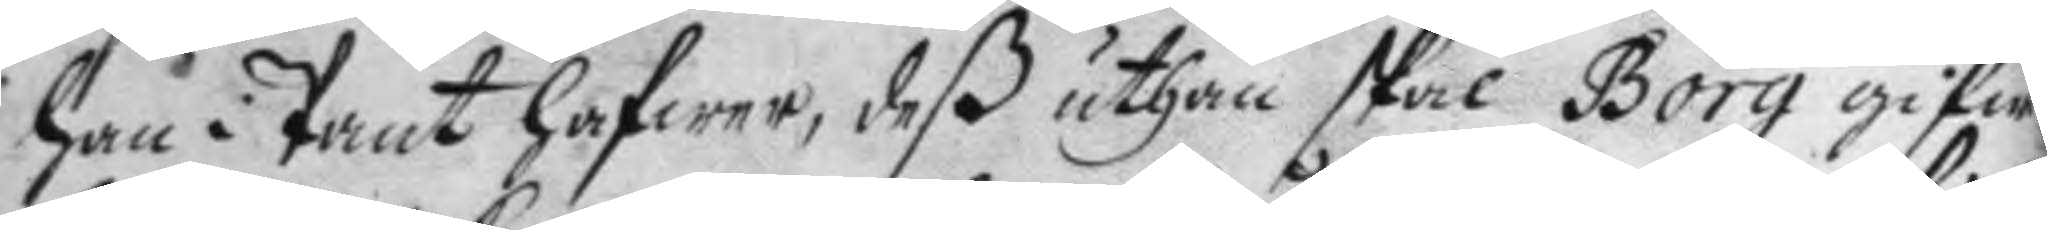han i Pant hafwer, deß uthan skal Borg gifwa
